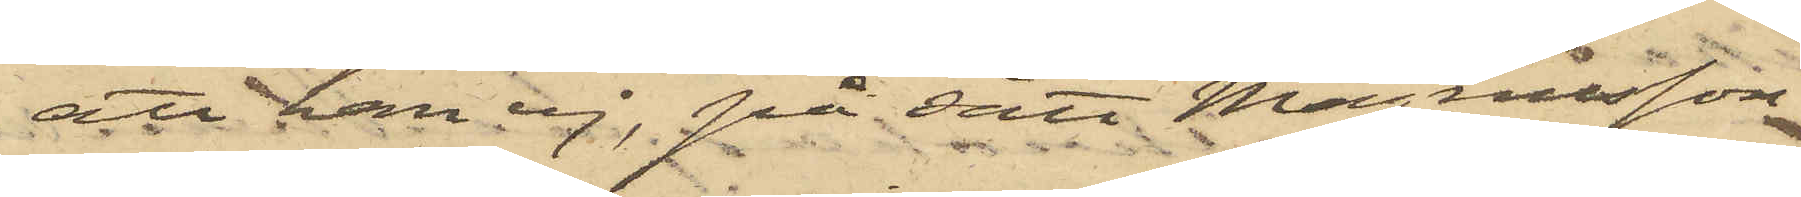att han ej, på sätt Magnusson
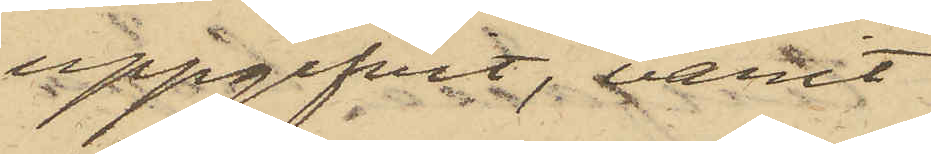uppgifvit, varit
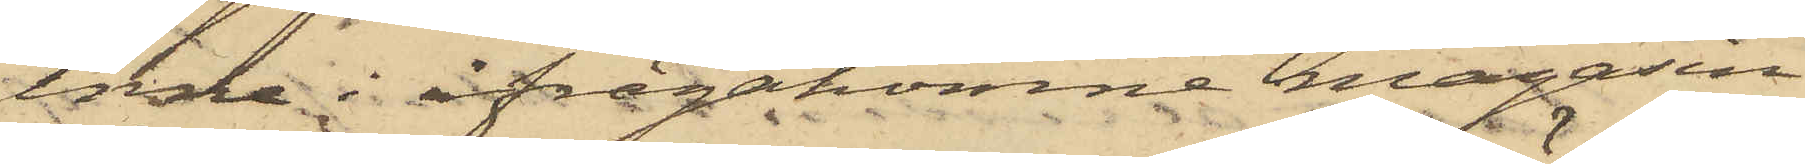inne i ifrågakomne magasin
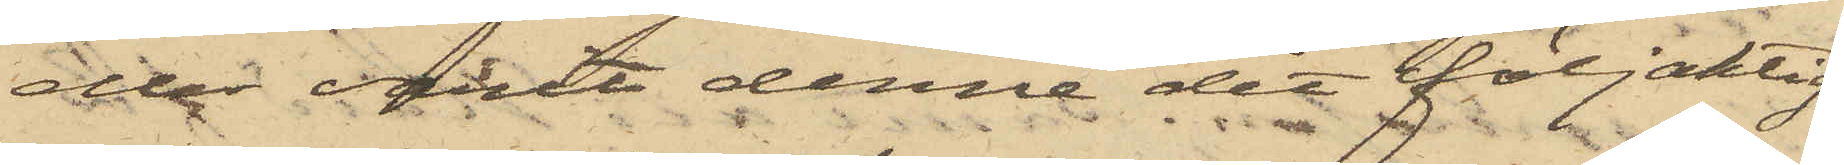eller varit denne dit följaktig
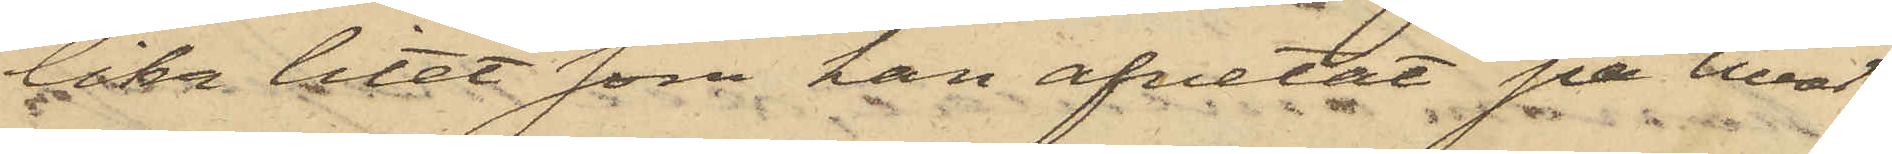lika litet som han afvetat på hvad
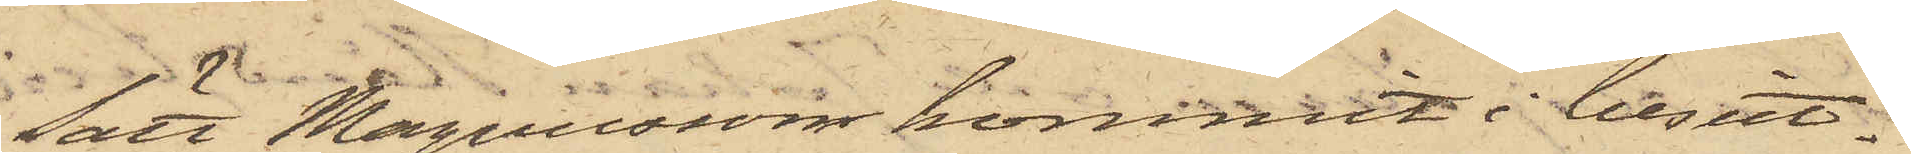sätt Magnusson kommit i besit¬
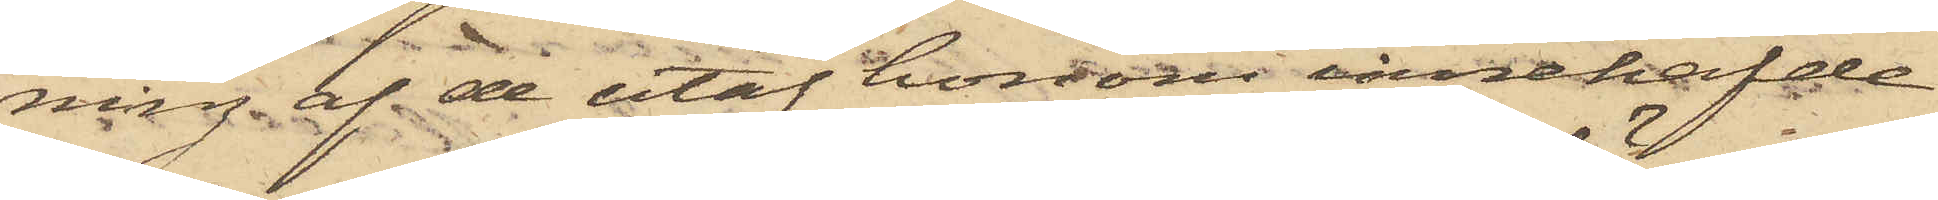ning af de utaf honom innehafde
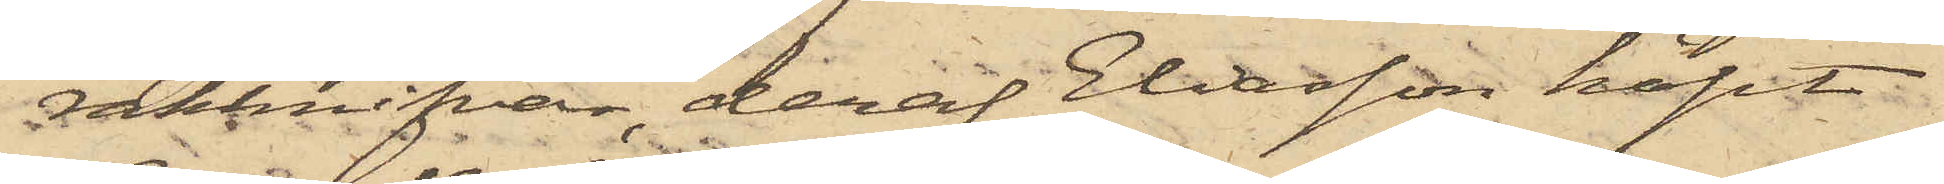rakknifvar, deraf Eliasson köpt
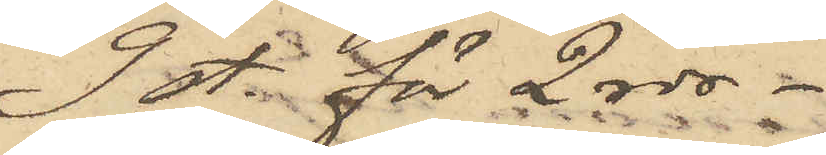9 st. för 2 rdr.
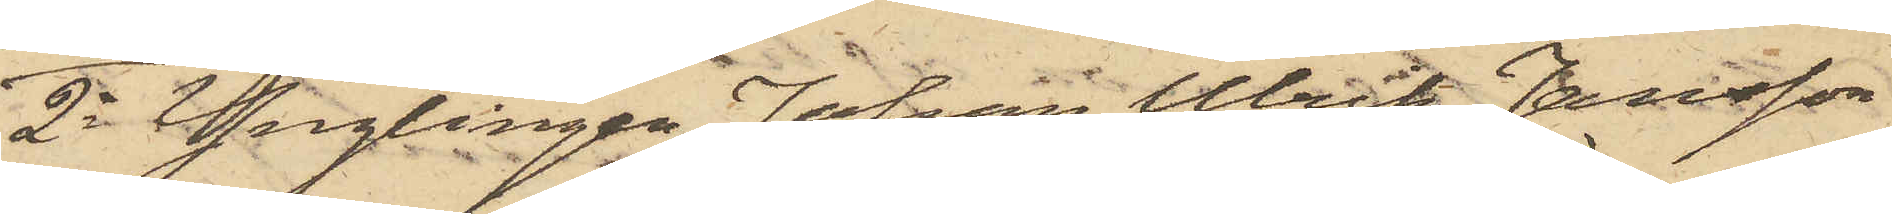2o Ynglingen Johan Ulrik Jansson
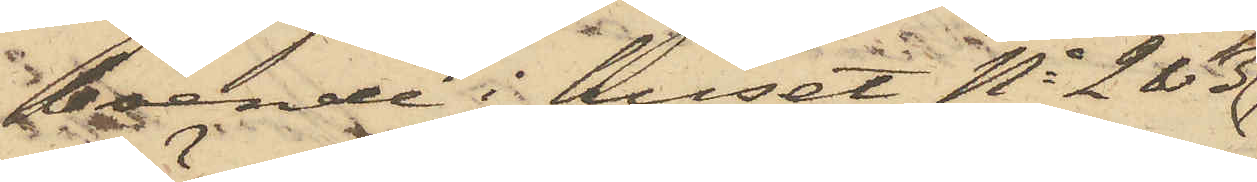boende i huset No 2 & 3
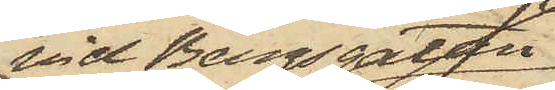vid Bergsgatan,
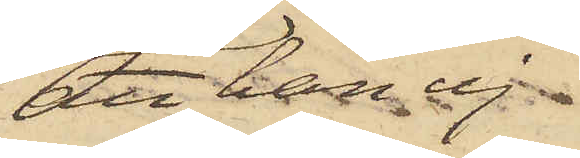att han ej
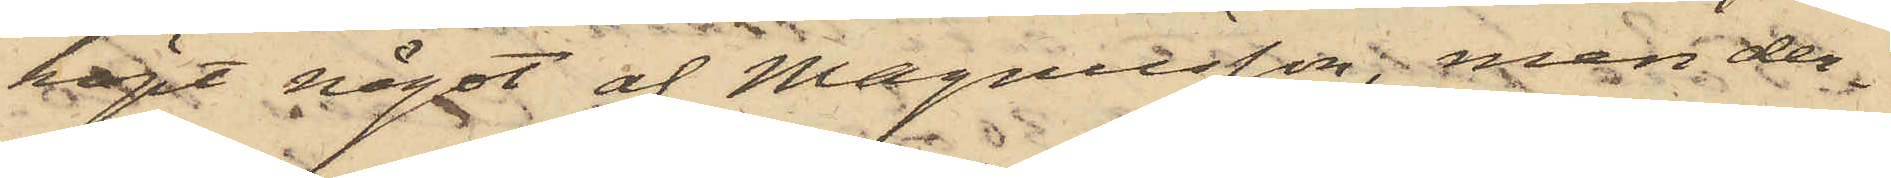köpt något af Magnusson, men der¬
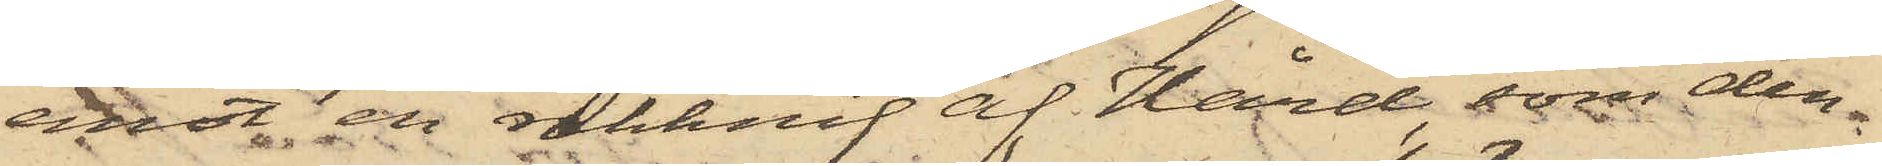emot en rakknif af Hård, som den¬
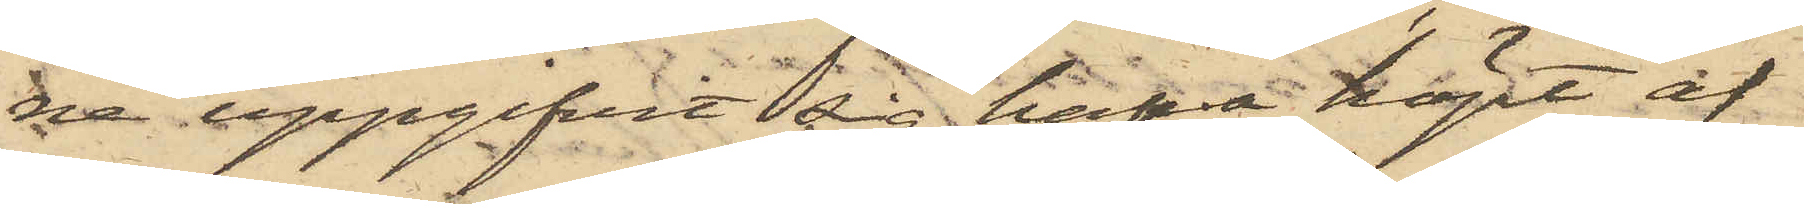ne uppgifvit sig hafva köpt af
